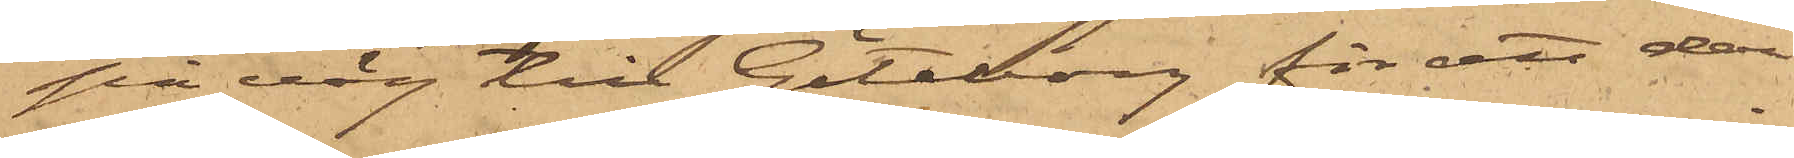på väg till Göteborg för att deri¬
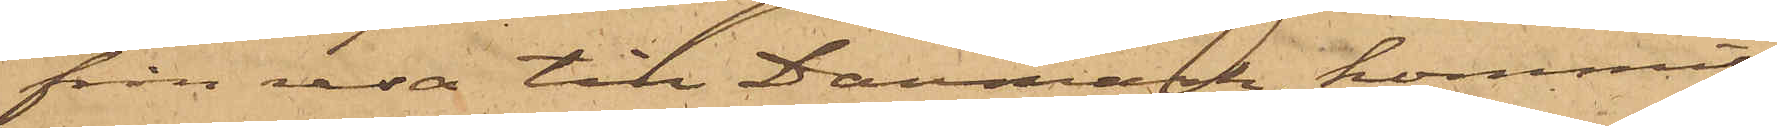från resa till Danmark, kommit
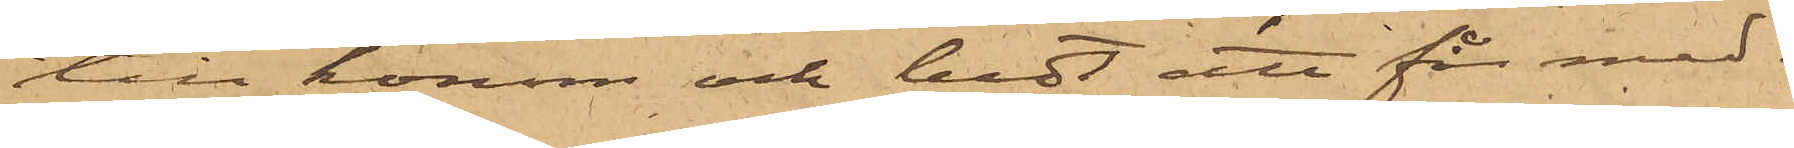till honom och bedt att för med¬
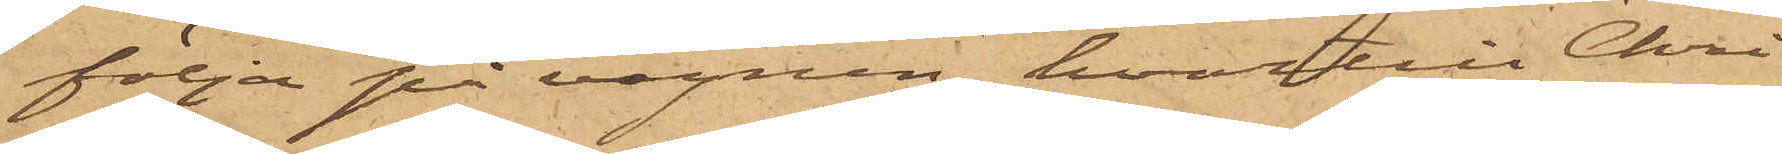följa på vagnen, hvartill Chri¬
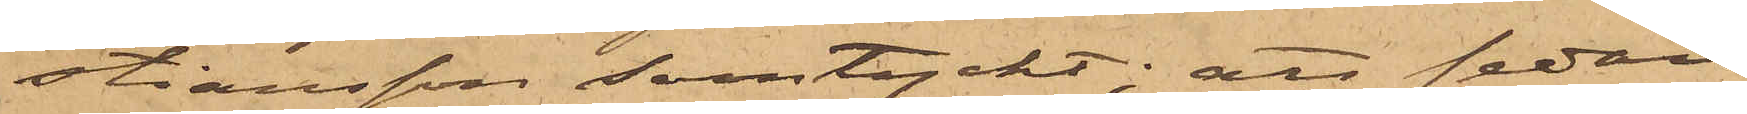stiansson samtyckt; sedan
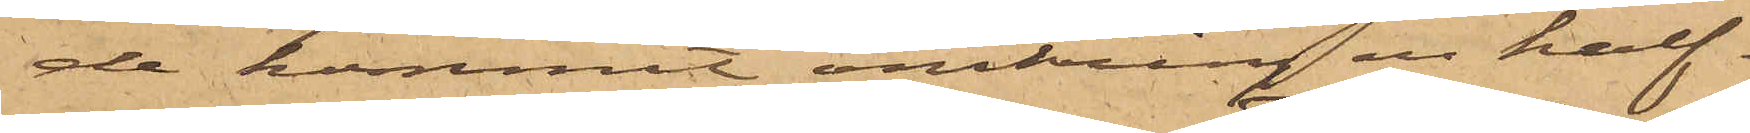de kommit omkring en half
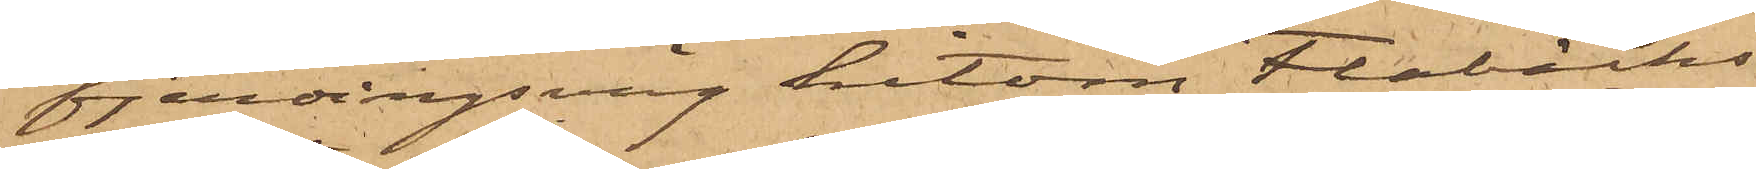fjerdingsväg hitom Flabäcks
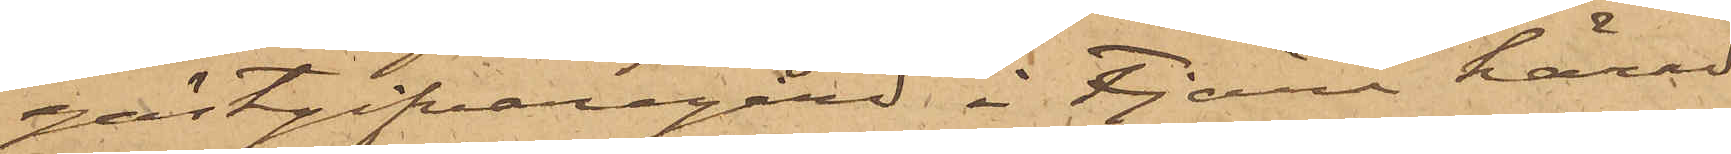gästgifvaregård i Fjärås härad
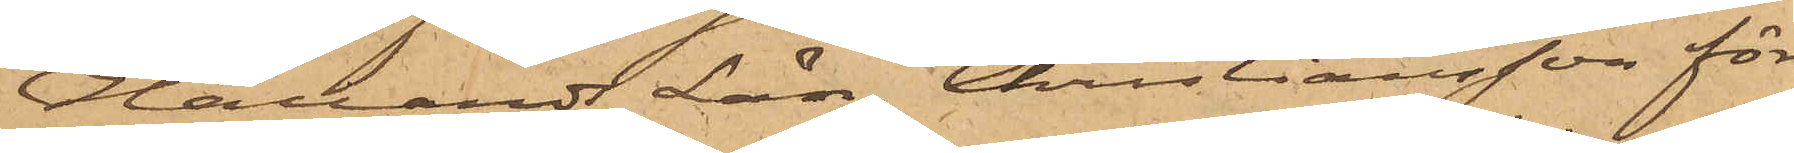Hallands Län, Christiansson för
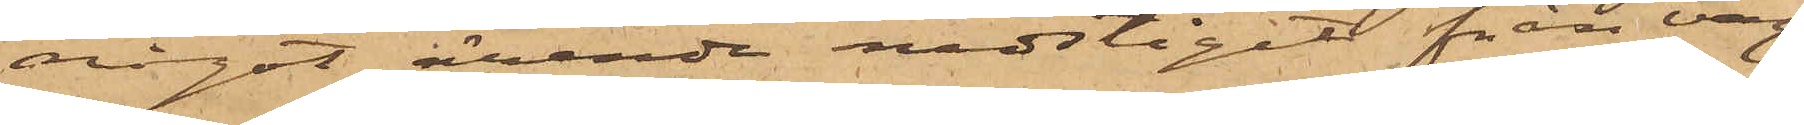något ärende nedstigit från vag¬
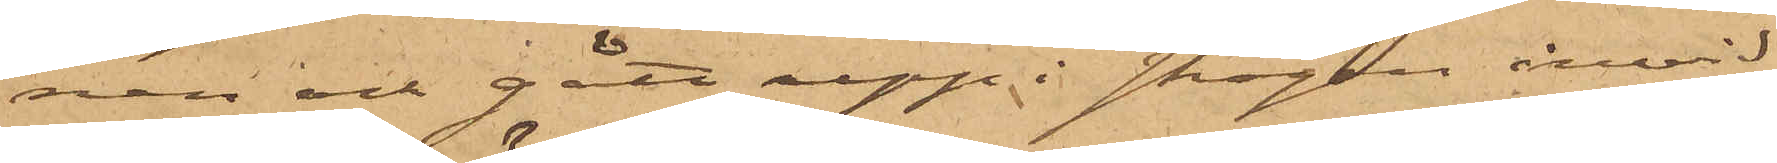nen och gått upp i skogen invid
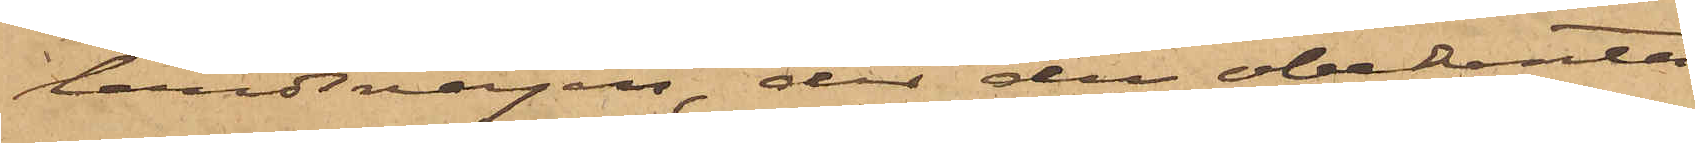landsvägen, der den obekanta
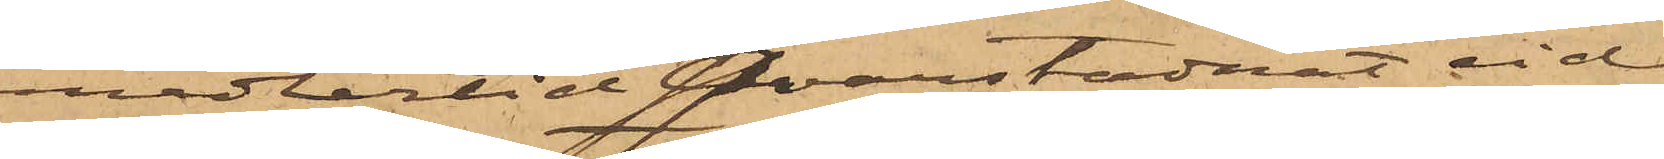emedlertid qvarstadnat vid
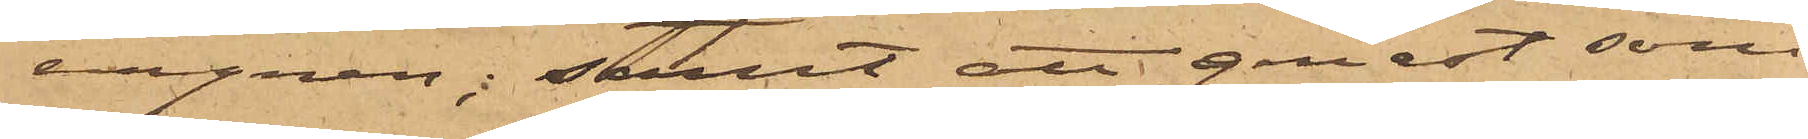vagnen; samt att genast som
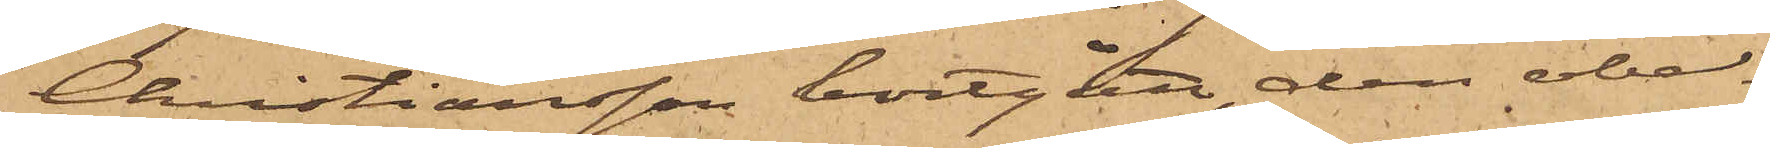Christiansson bortgått, den obe¬
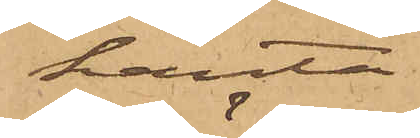kanta
